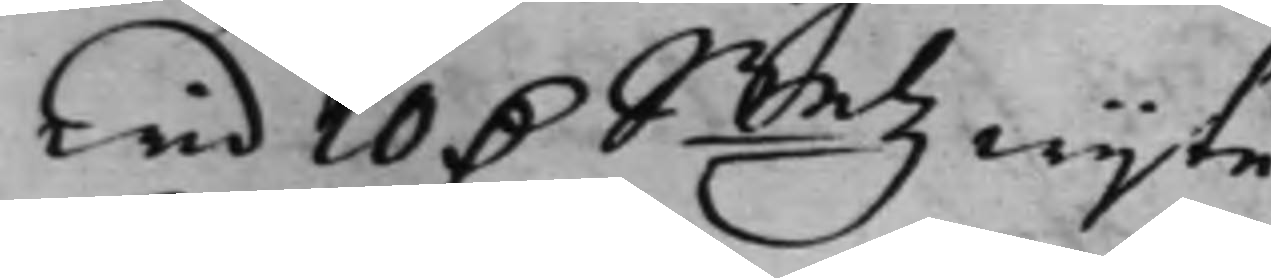wid 10 D. Smtz wijte.
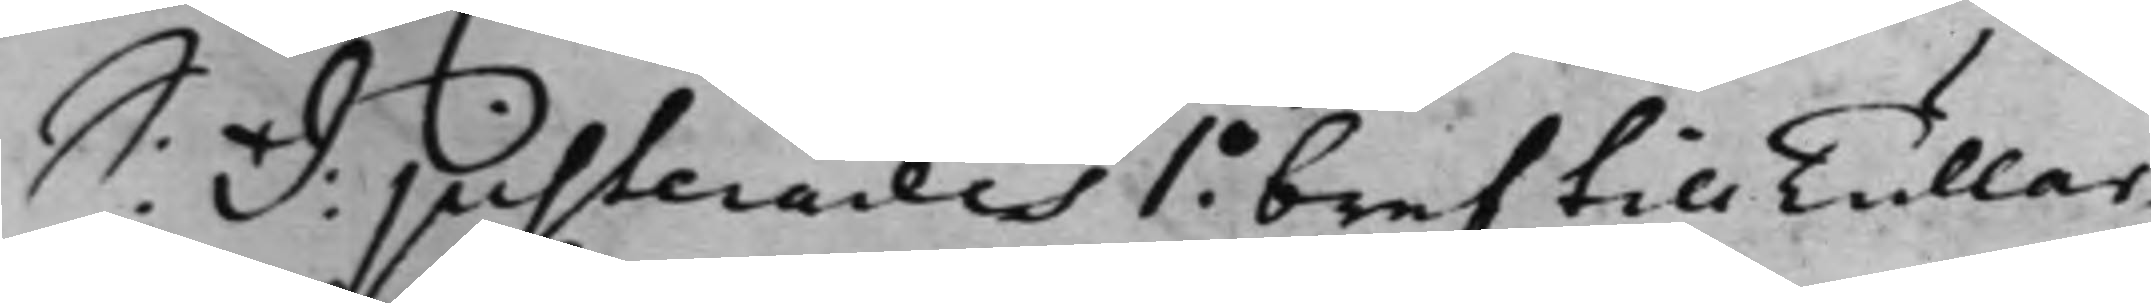S: d: Justerades 1o bref till Tullar¬
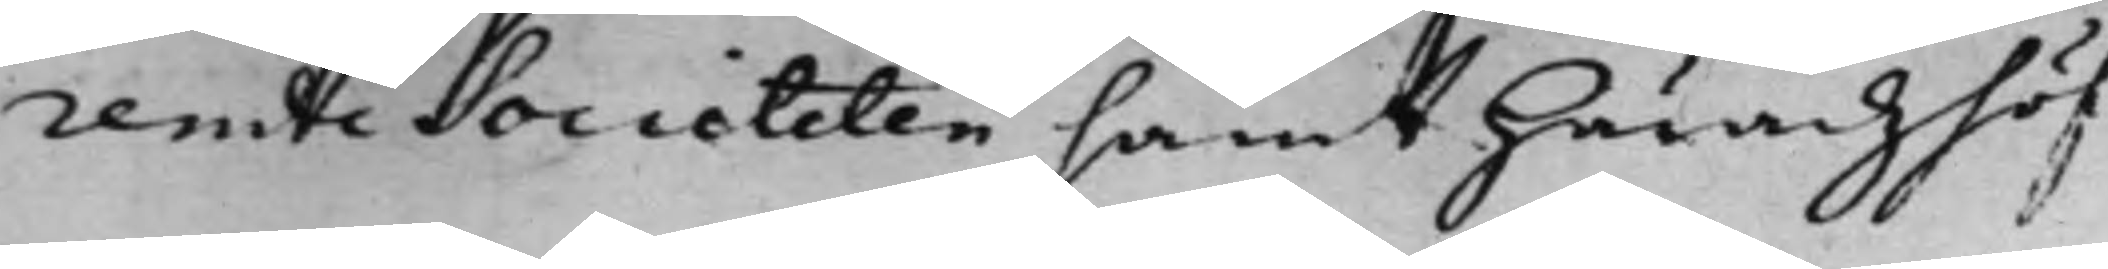rende Societeten samt Häradzhöf¬
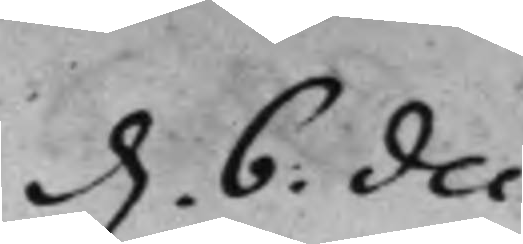d. 6. Dec:
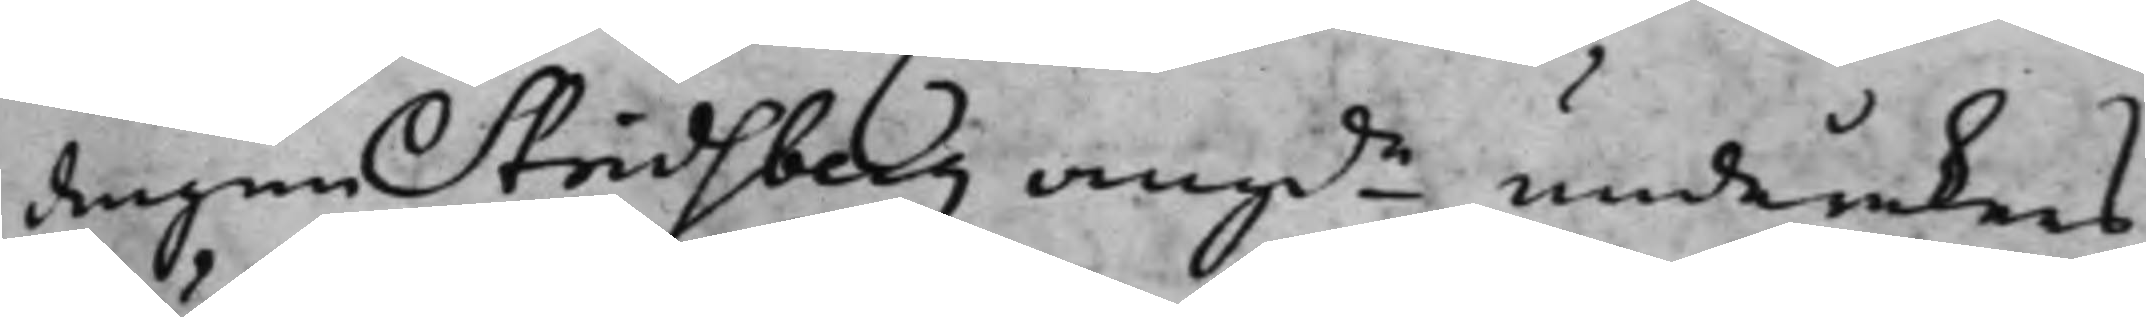dingen Stridsberg, angde underakers
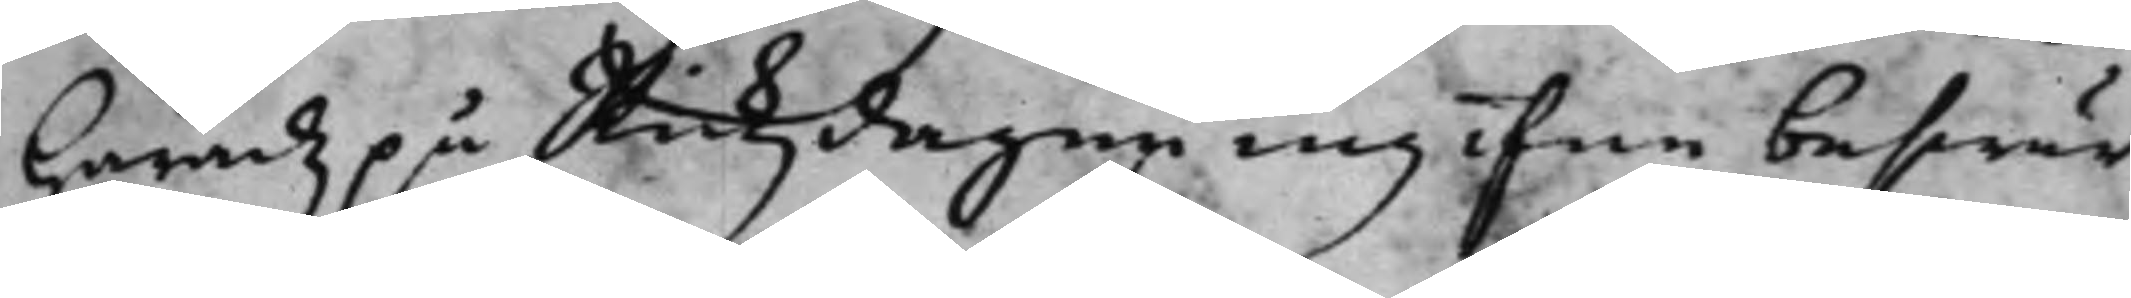Häradz på Rikzdagen ingifne beswär
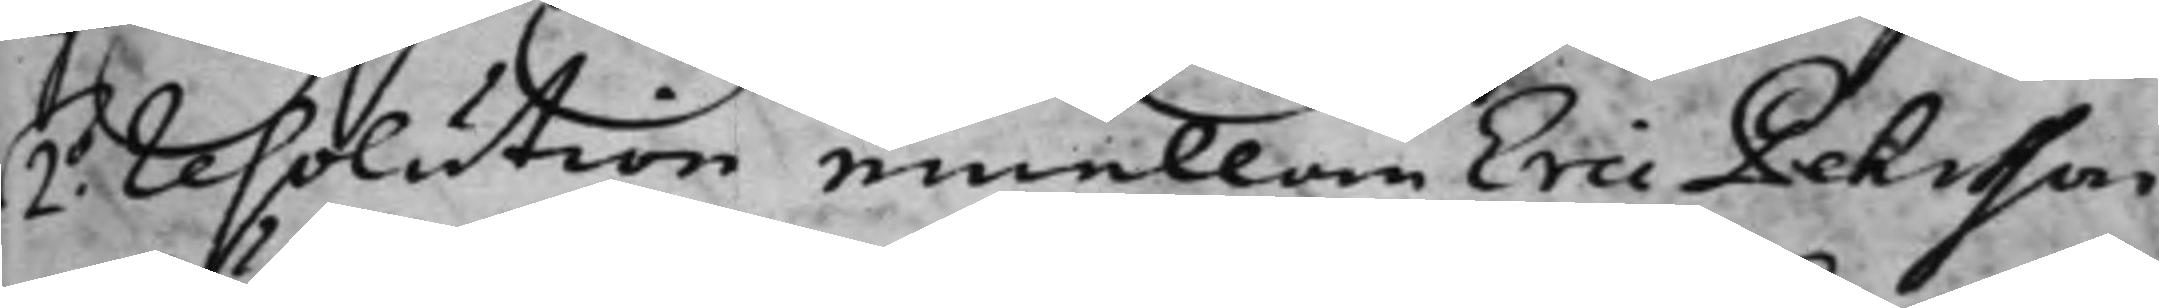2o Resolution emellan Eric Pehrsson
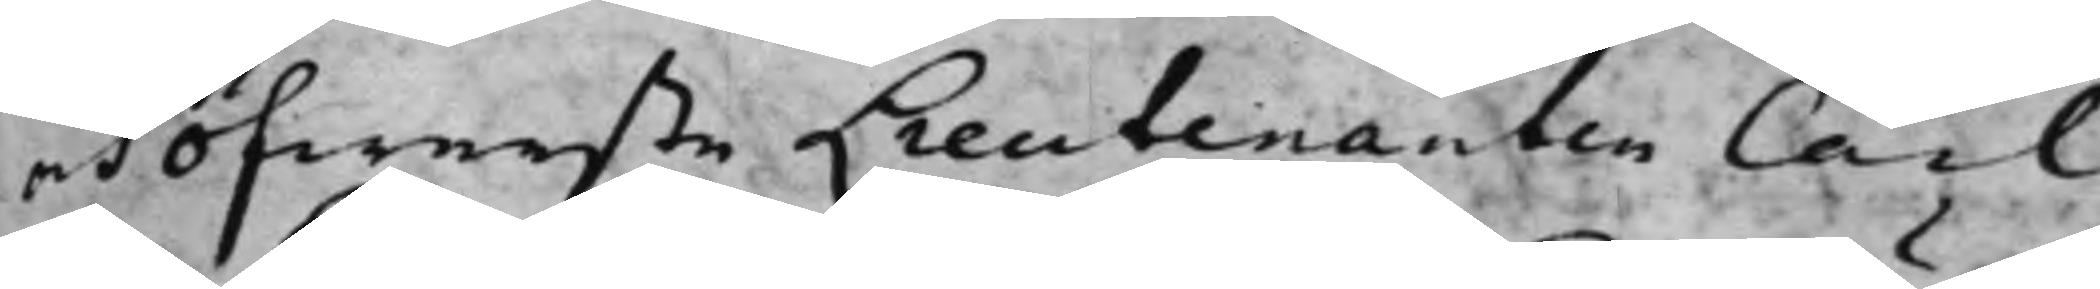och Öfwerste Lieutenanten Carl
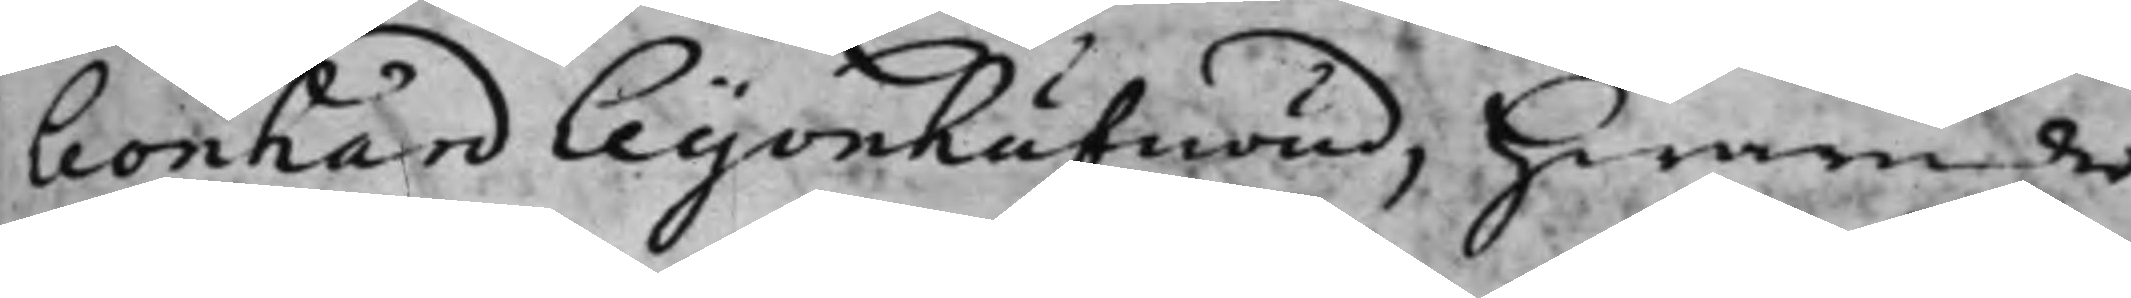Leonhard Leijonhufwud, hwarunder
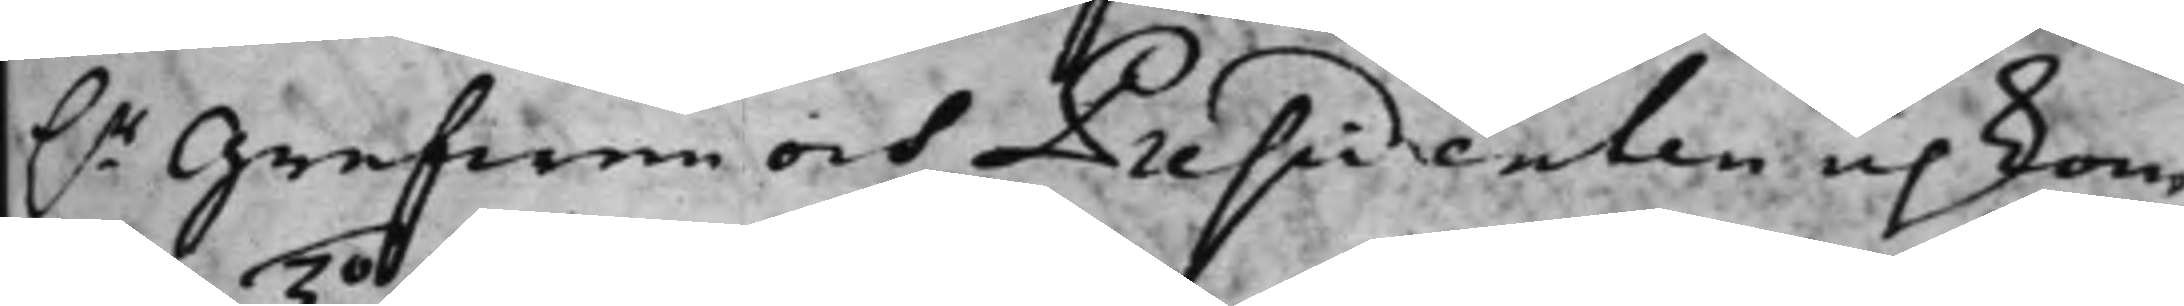h.r Grefwen och Presidenten upkom
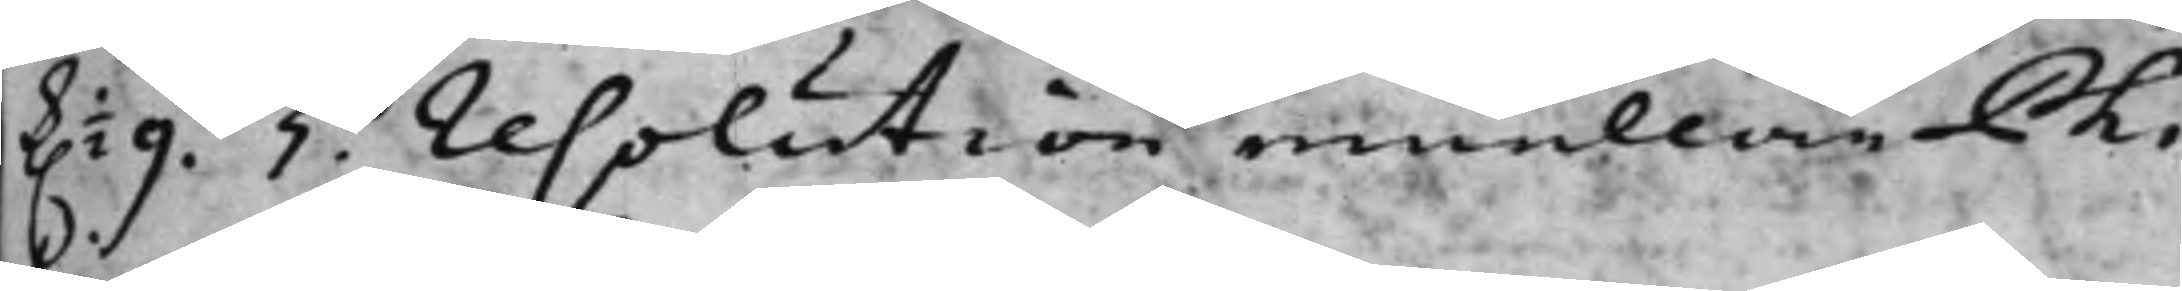k. 1/2 9. 3o Resolution emellan Phi¬
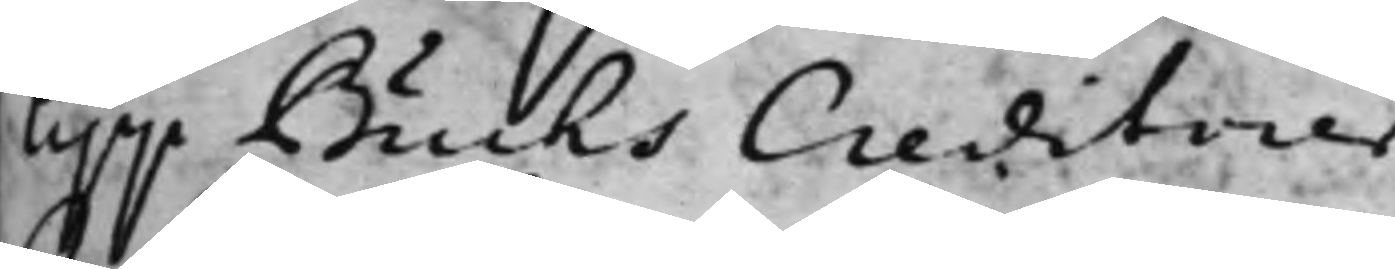lipp Buchs Creditorer.
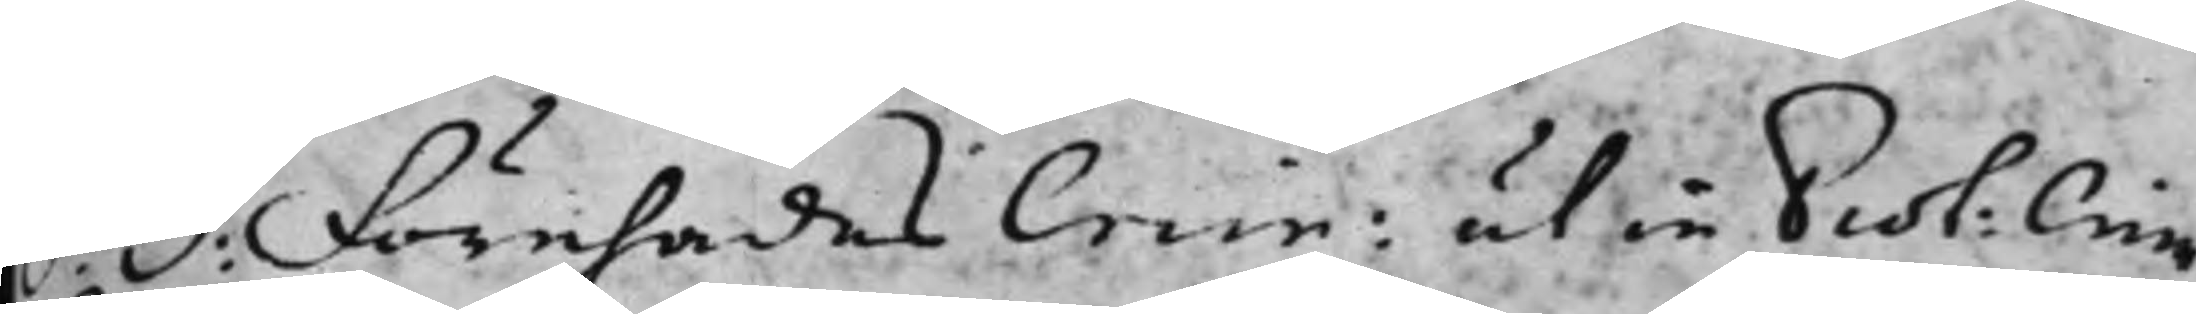S: D: Förehades Crim: utin Prot: Crim:
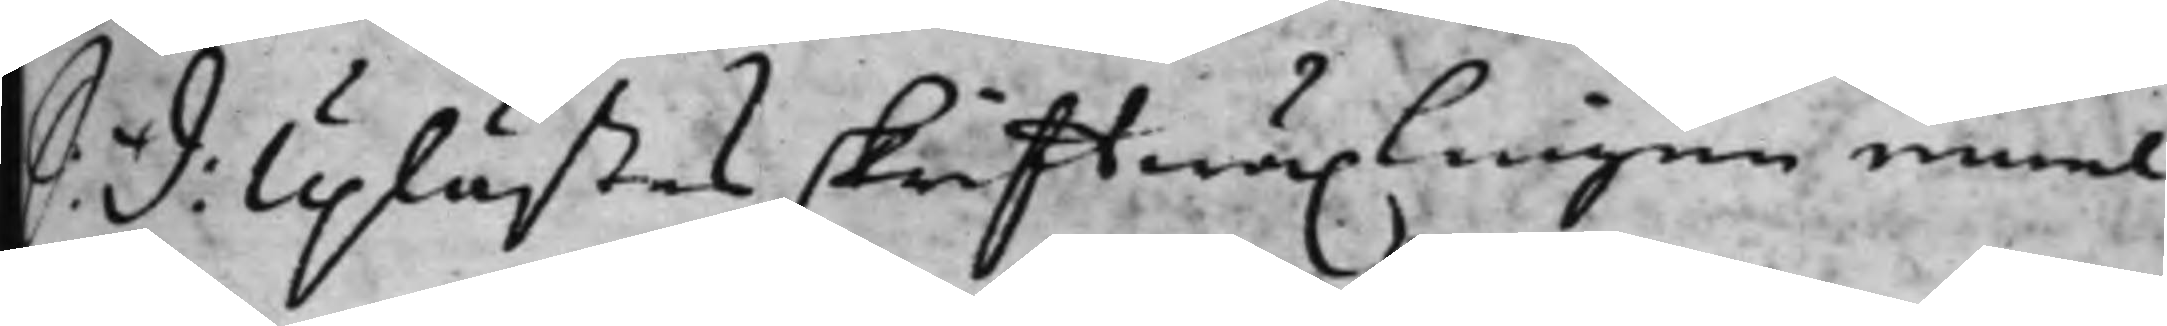S: D: Uplästes skrifftwäxlingen emel¬
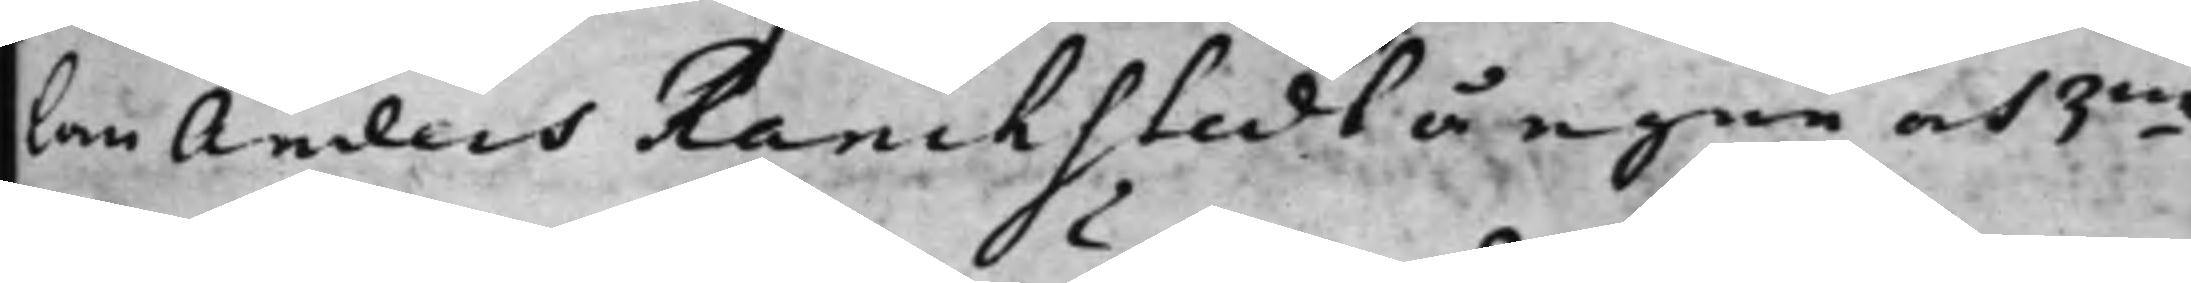lan Anders Ranckstedt å egen och 3ne
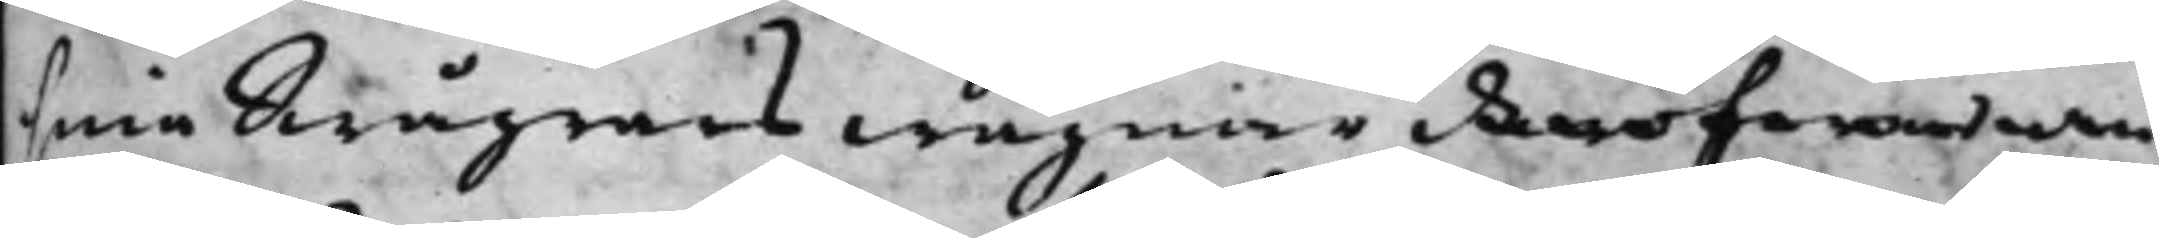sina swågrars wägnar däröfwer an¬
